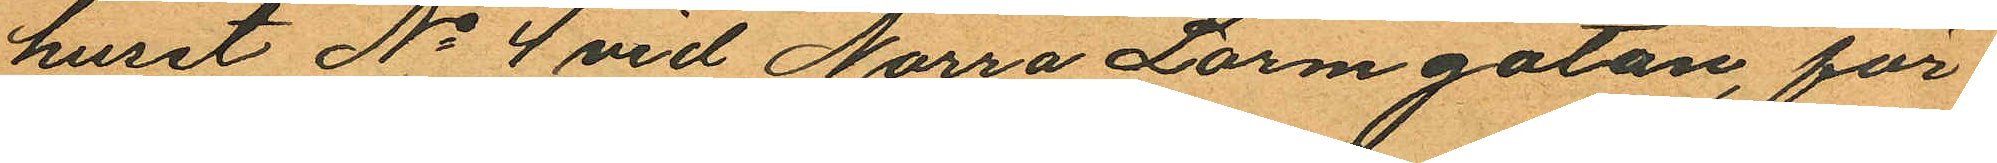huset No 4 vid Norra Larmgatan, för¬
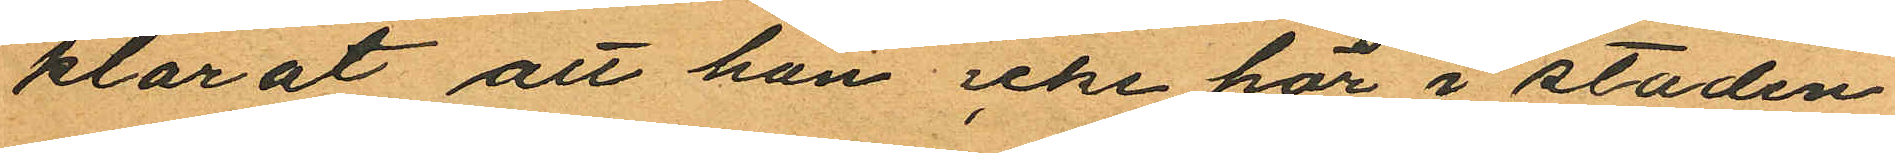klarat att han icke här i staden
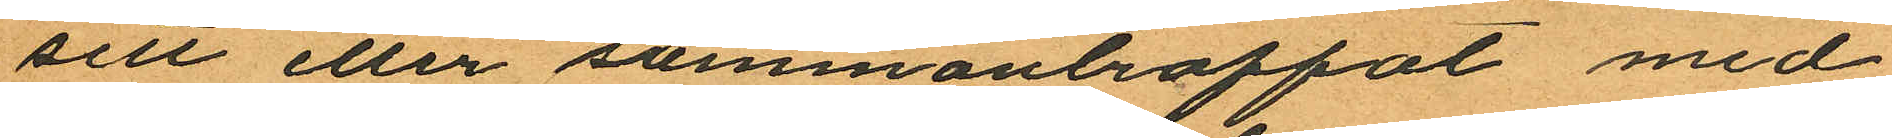sett eller sammanträffat med
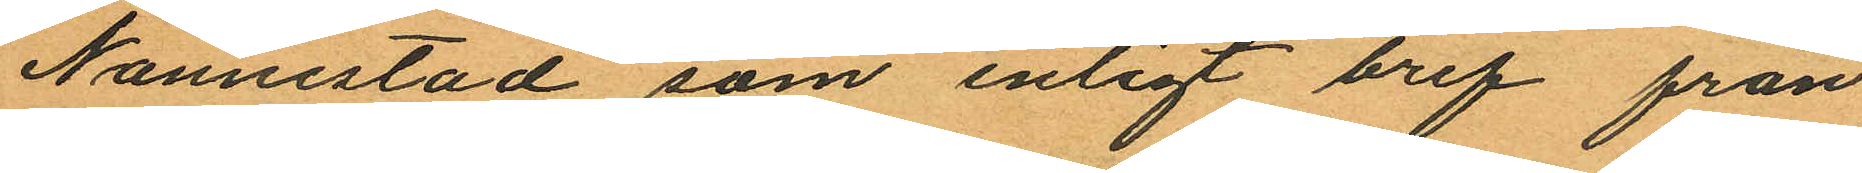Nannestad, som enligt bref från
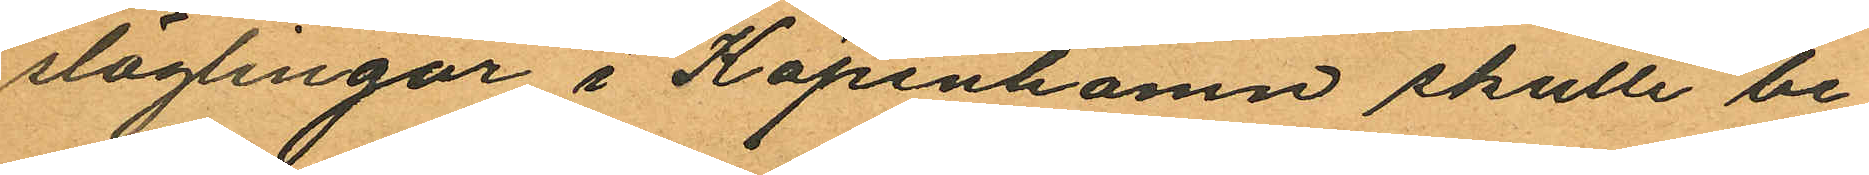släglingar i Köpenhamn skulle be¬
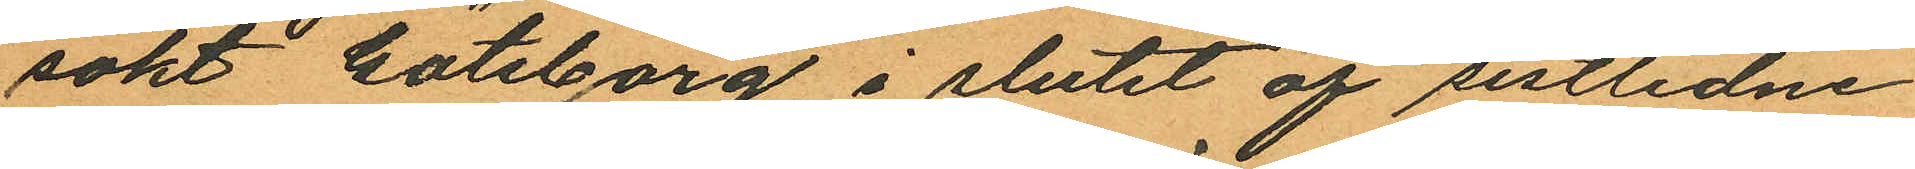sökt Göteborg i slutet af sistlidne
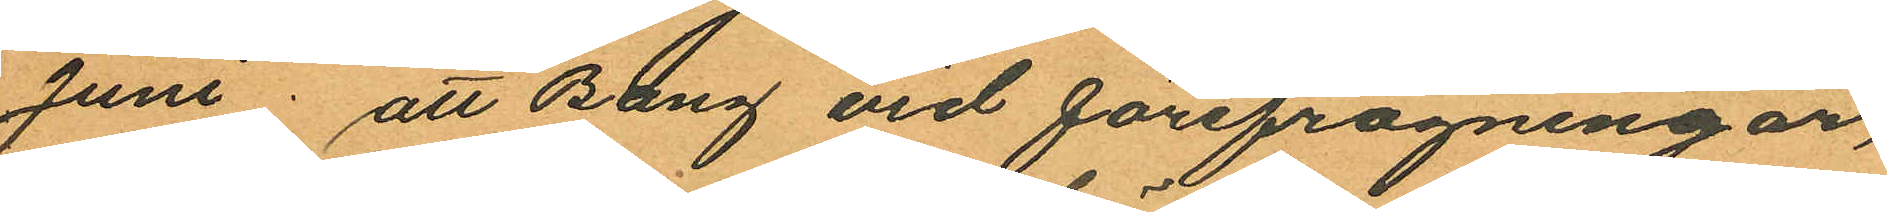Juni; att Bang vid förefrågningar,
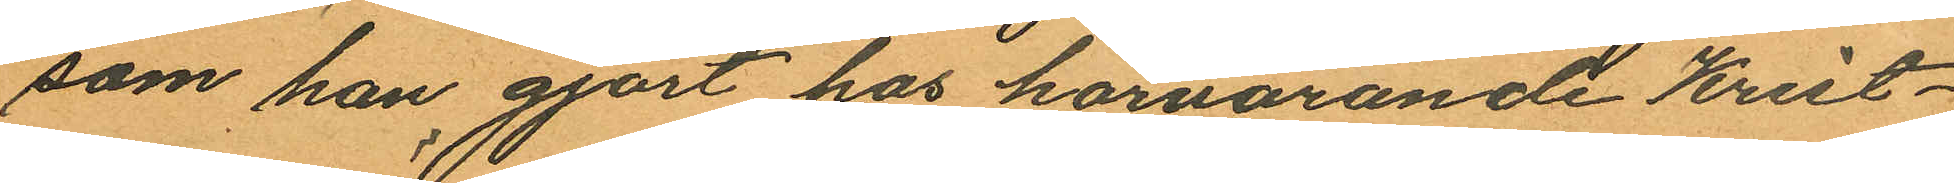som han gjort hos härvarande Krist¬
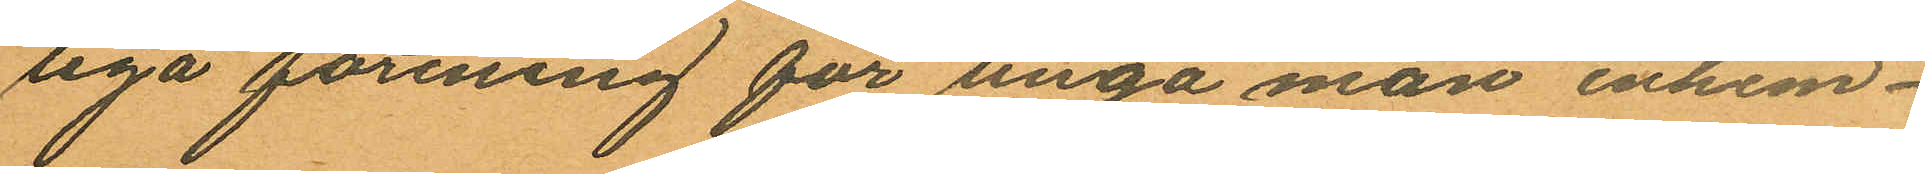liga förening för unga män inhem¬
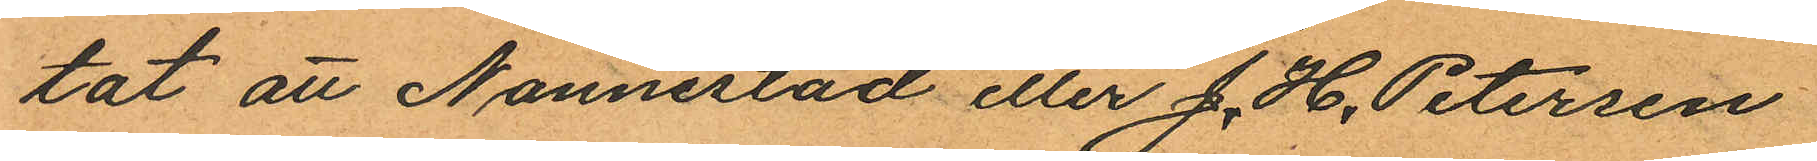tat att Nannestad eller J. H. Petersen
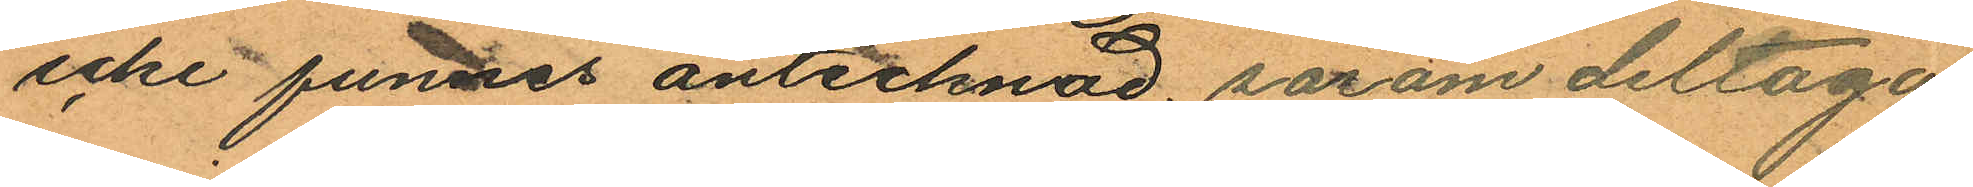icke funnes antecknad såsom deltaga
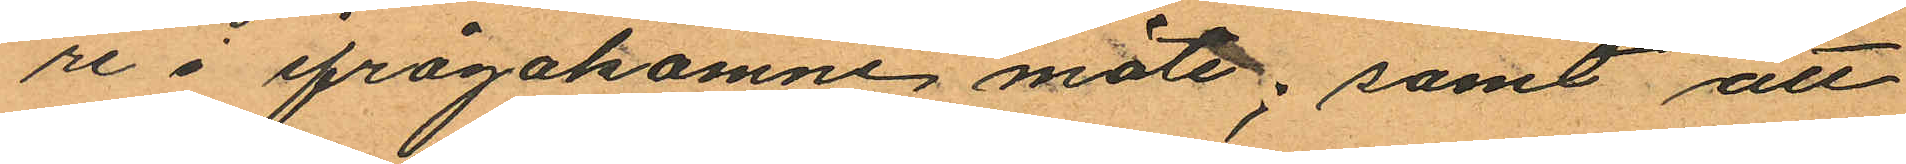re å ifrågakomne möte; samt att
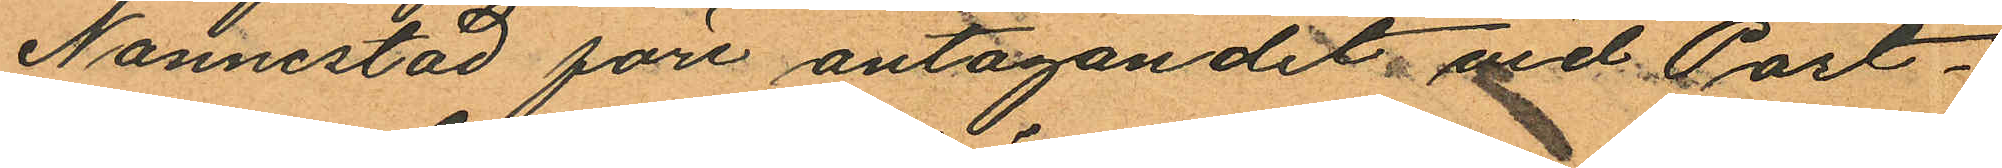Nannestad före antagandet vid Post¬
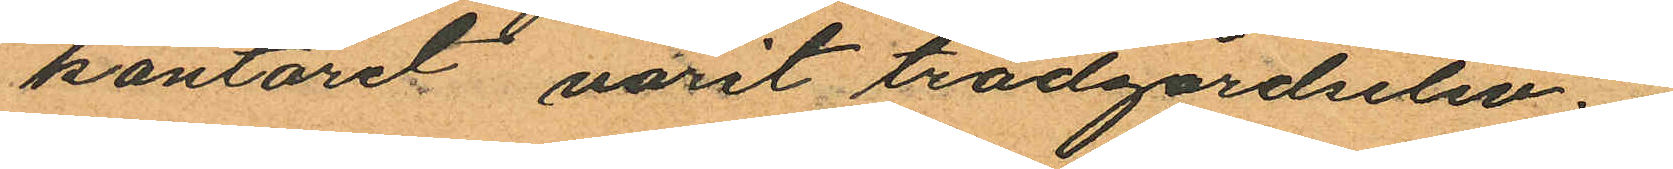kontoret varit trädgårdselev.
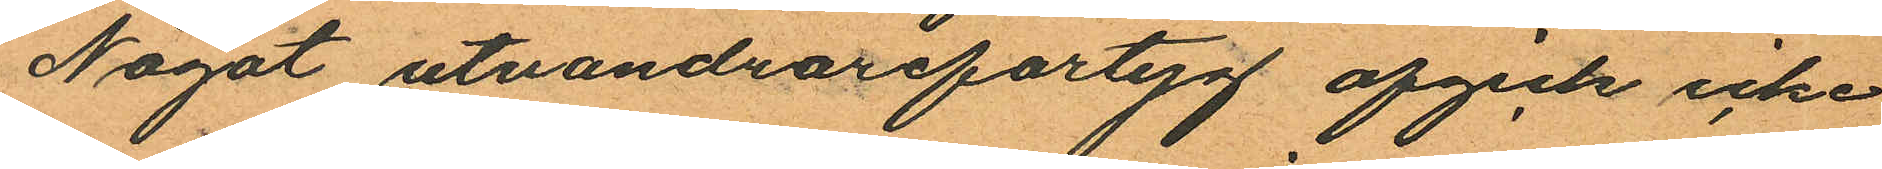Något utvandrarefartyg afgick icke
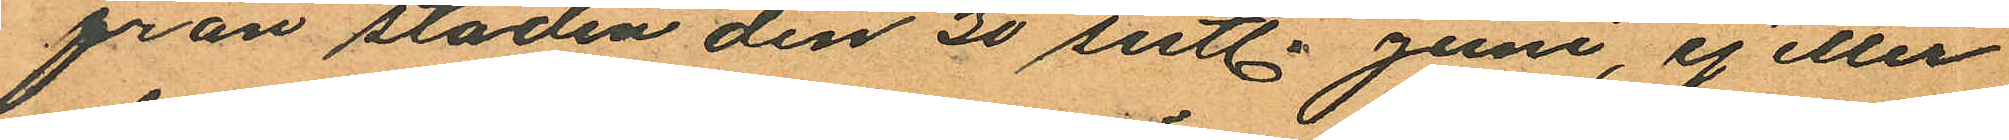från staden den 30 sistl. Juni, ej eller
